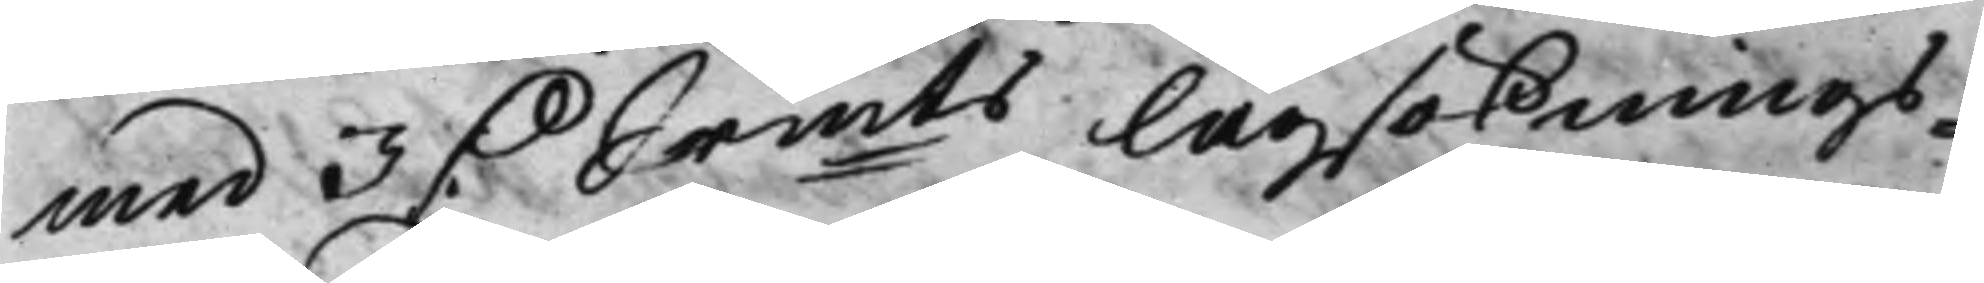med 3 D. Srmts Lagsöknings¬ 
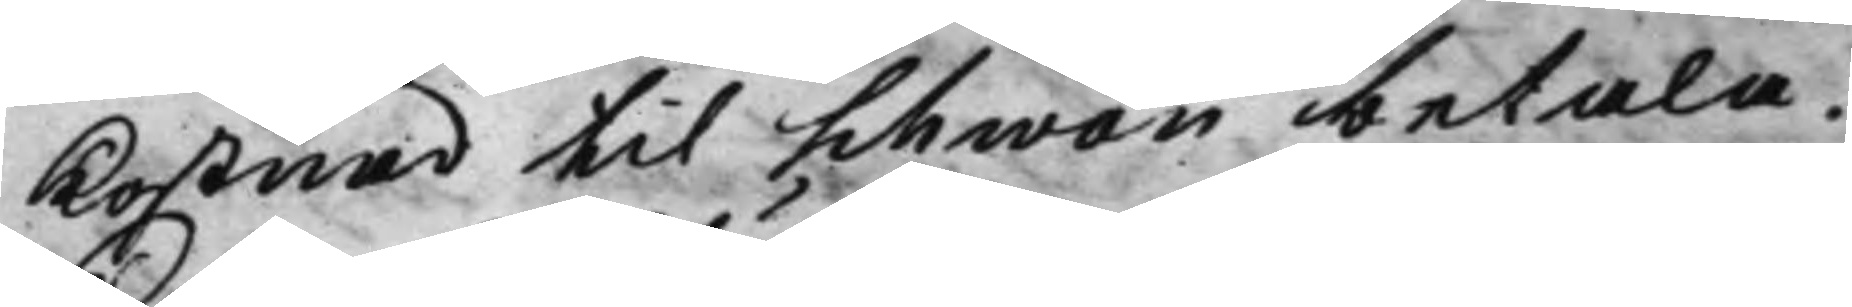kostnad til Schwan betala.
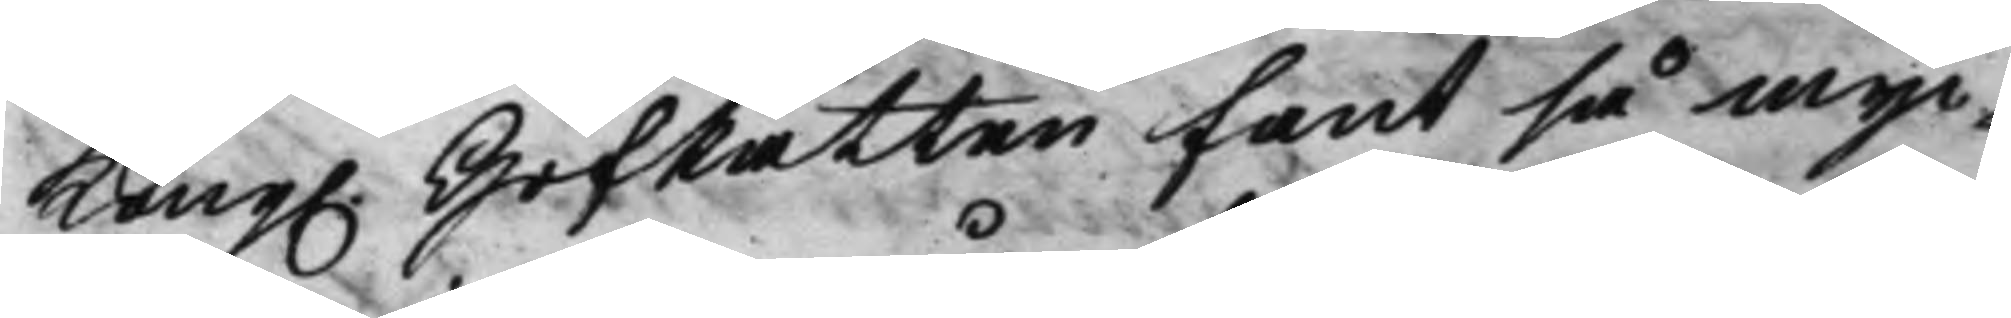Kong. HofRätten fant så myc¬ 
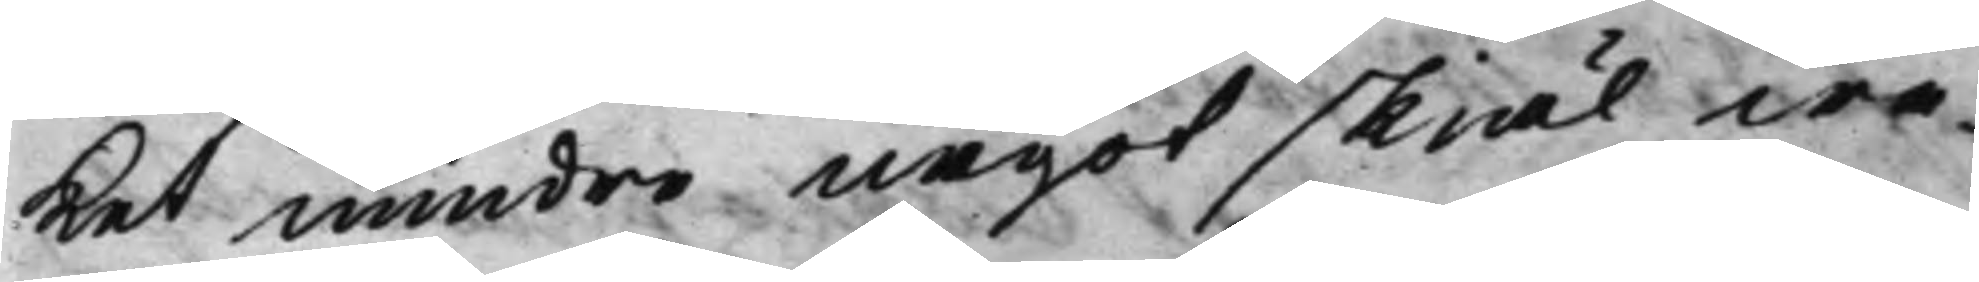Ket mindre något skiäl wa¬
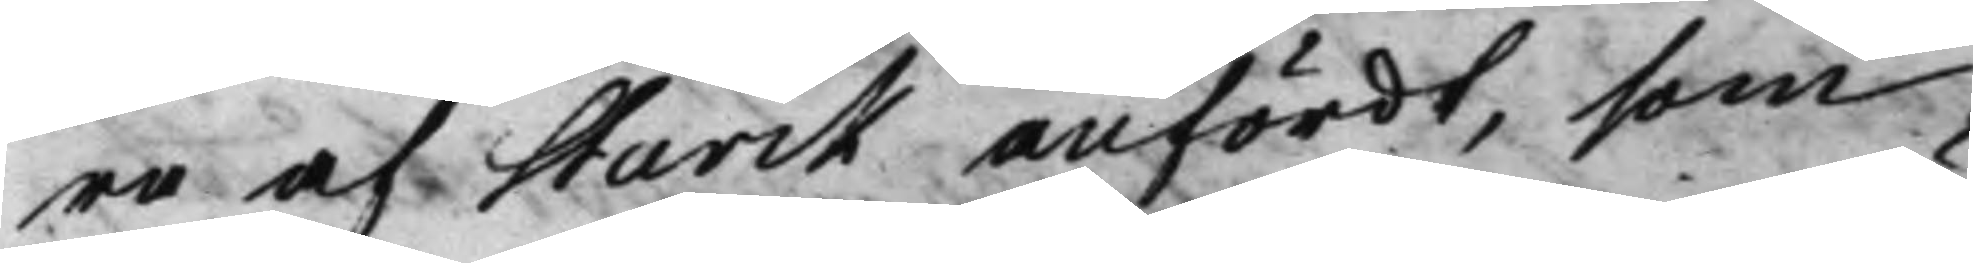ra af Starck anfördt, som
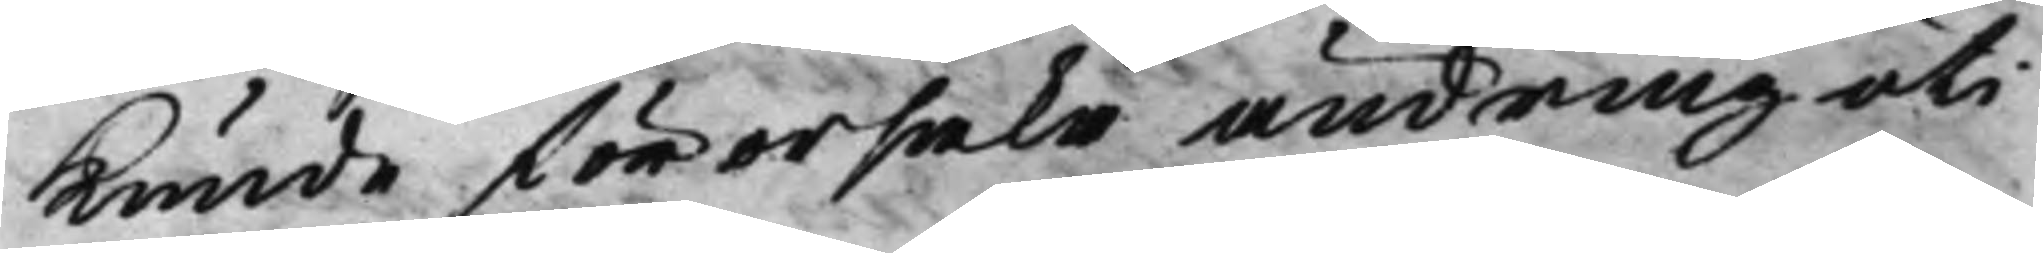Kunde förorsaka ändring uti
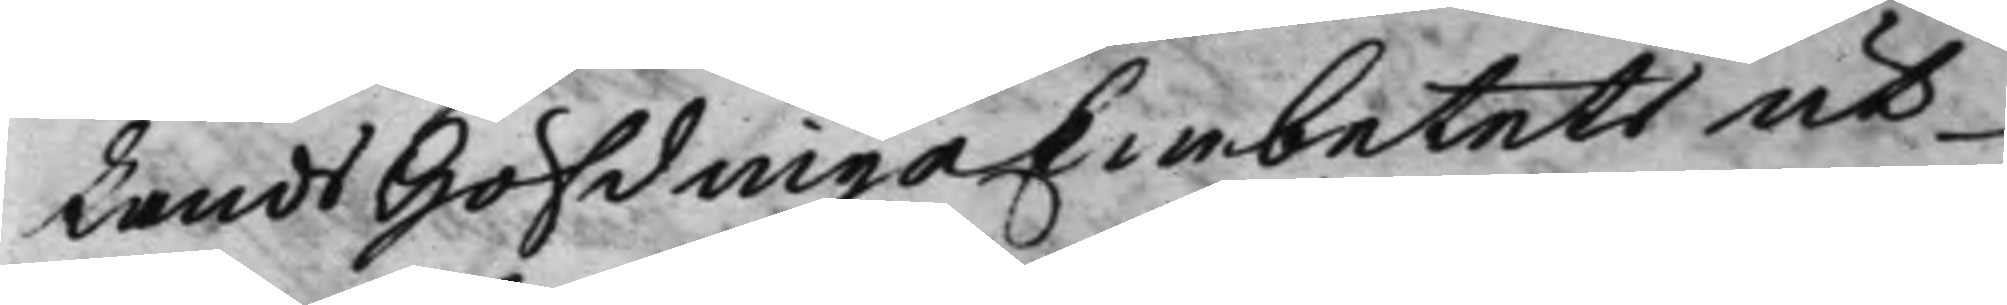Lands HöfdingeEmbetets ut¬
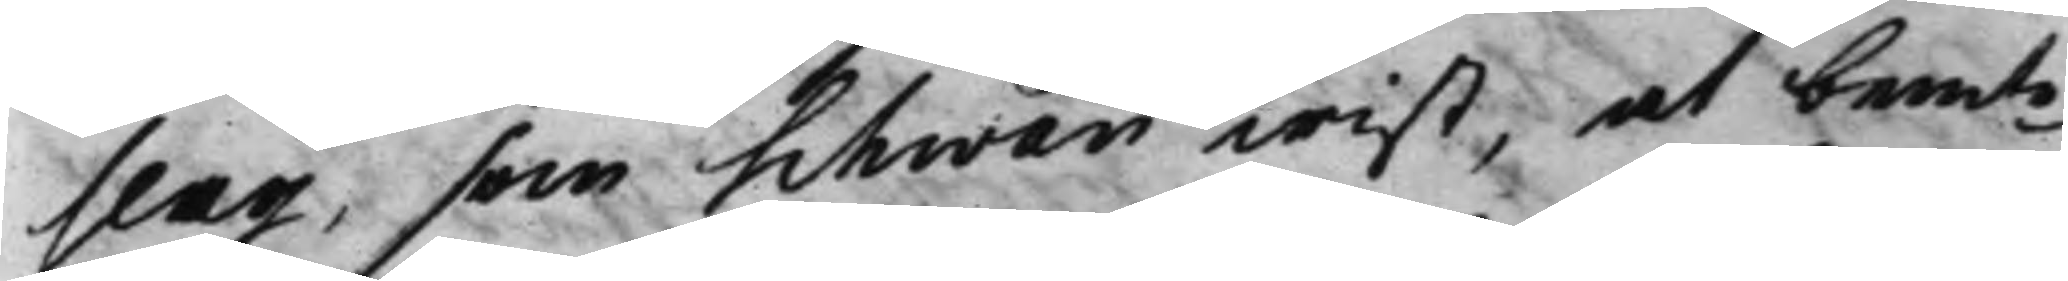slag, som Schwan wist, at bemte 
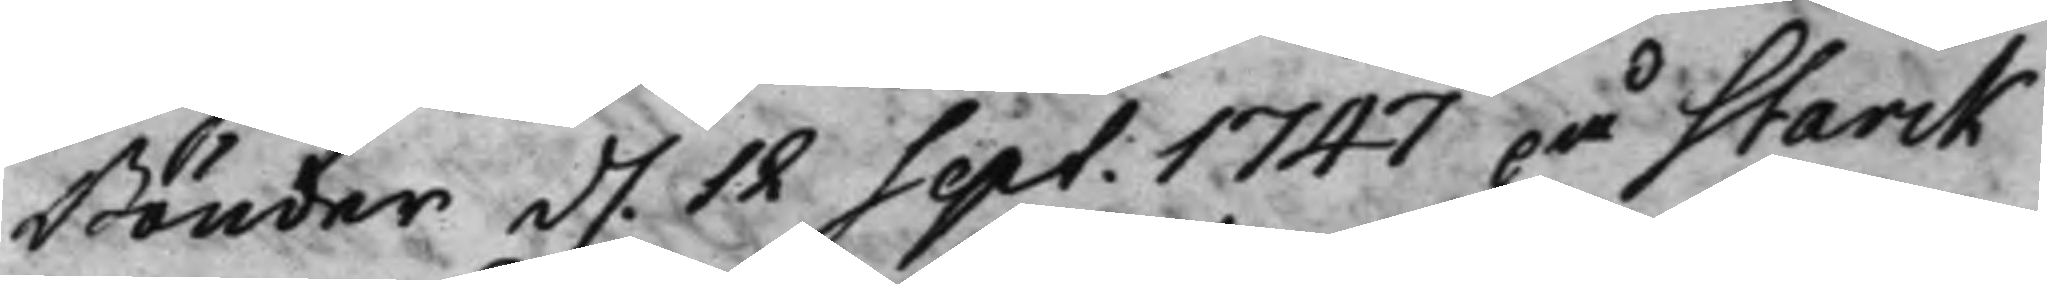Bönder d. 12 Sept. 1747 på Starck 
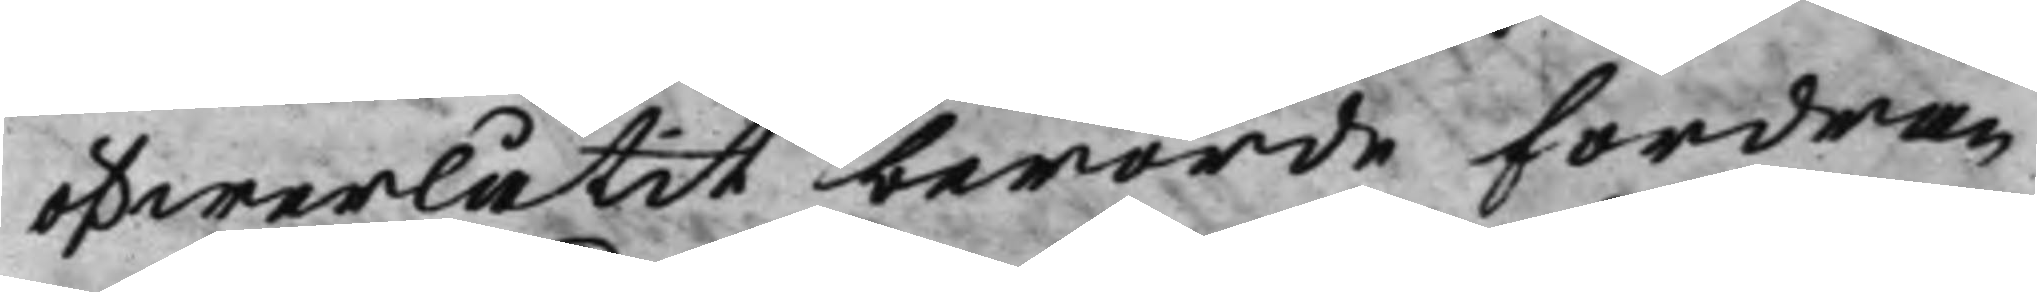öfwerlåtit berörde Fordran
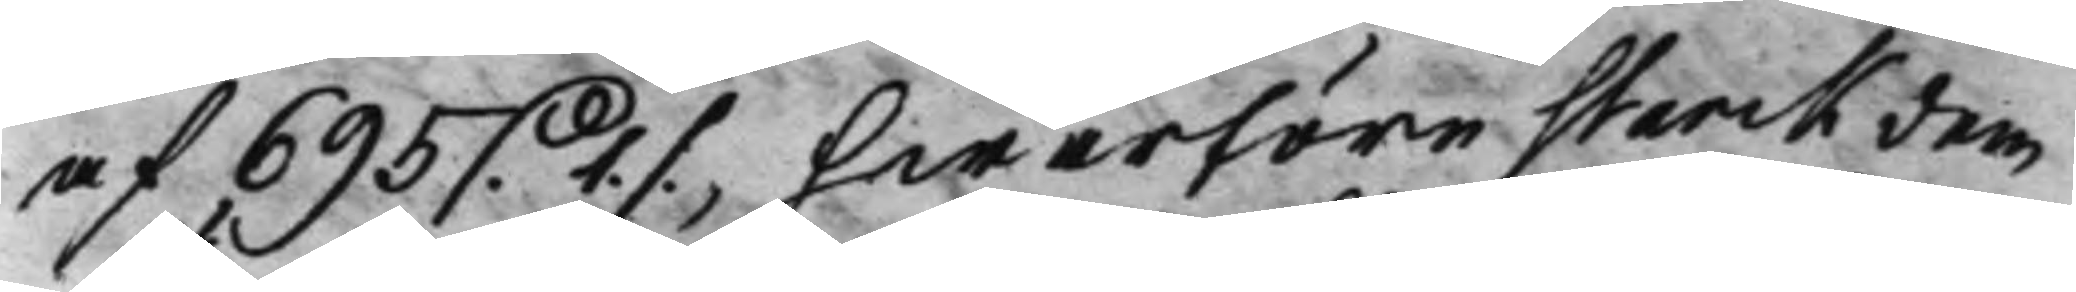af 695 D. 1 ./., hwarföre Starck dem 
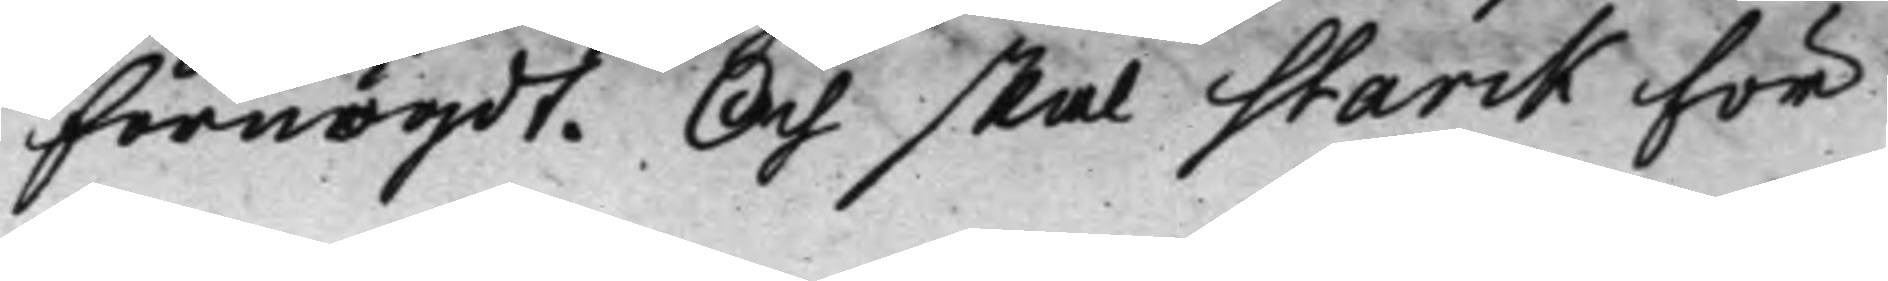Förnögdt. Och skal Starck För
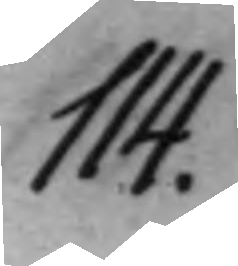114.
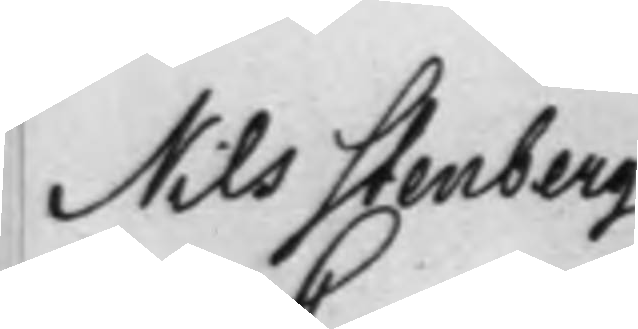Nils Stenberg 
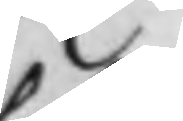C
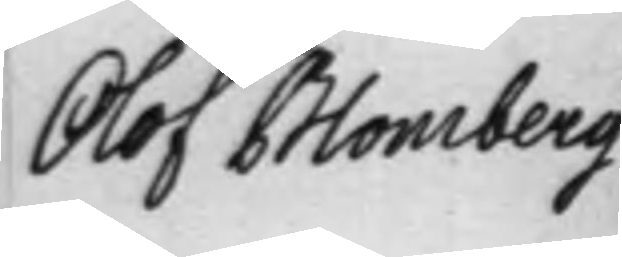Olof Blomberg
